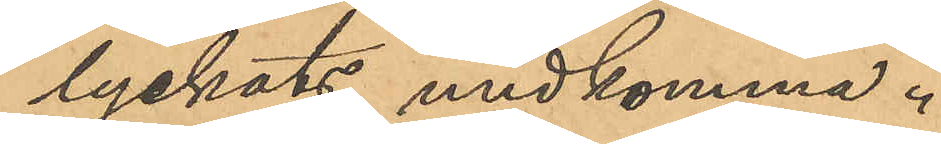lyckats undkomma.
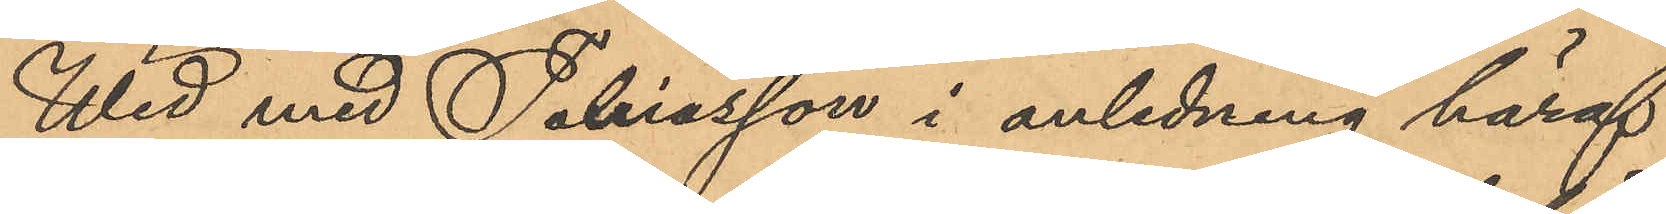Wid med Tobiasson i anledning häraf
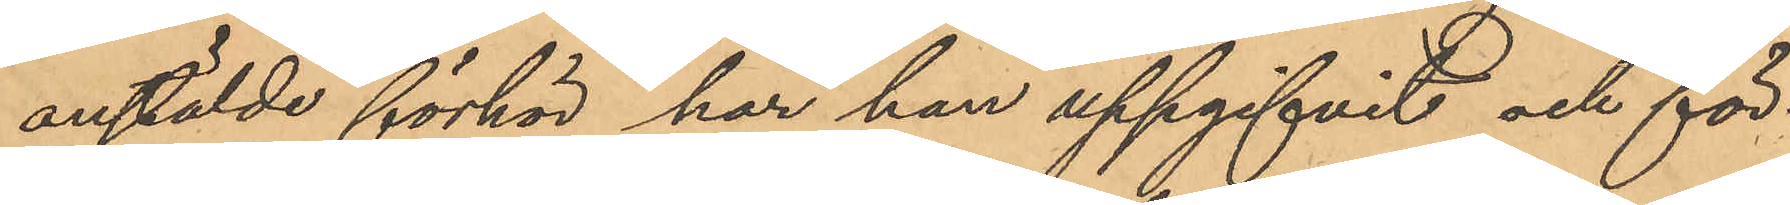anstälde förhör har han uppgifvit och för¬
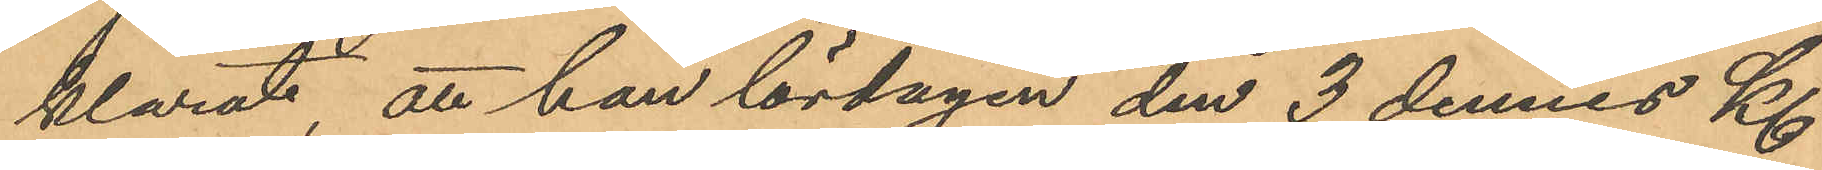klarat, att han lördagen den 3 dennes Kl
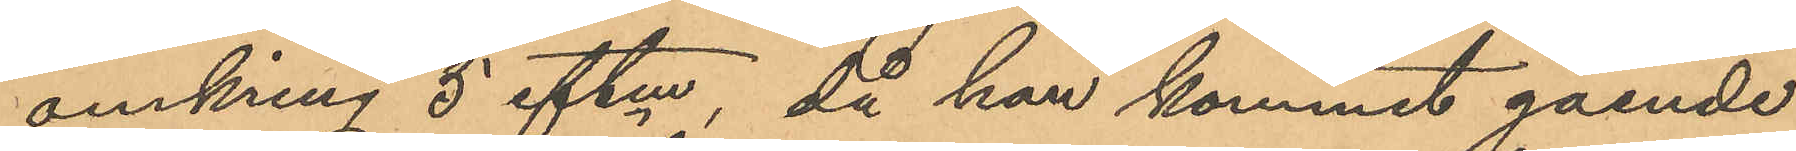omkring 5 eftm, då han kommit gående
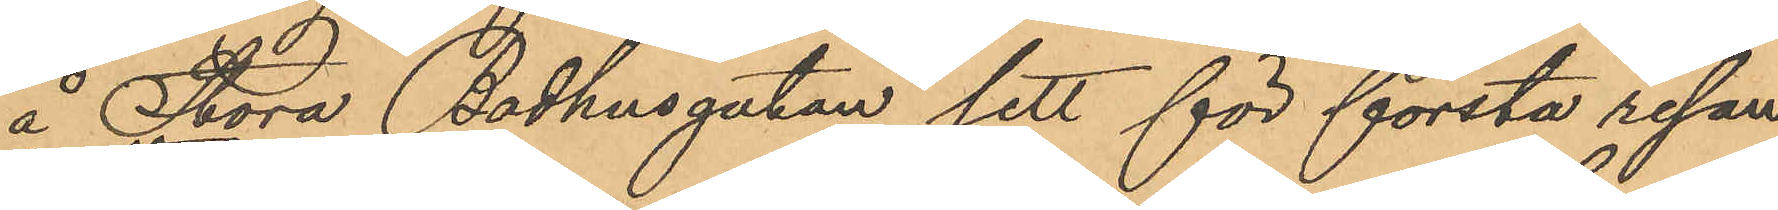å Stora Badhusgatan sett för första resan
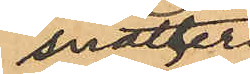snatteri
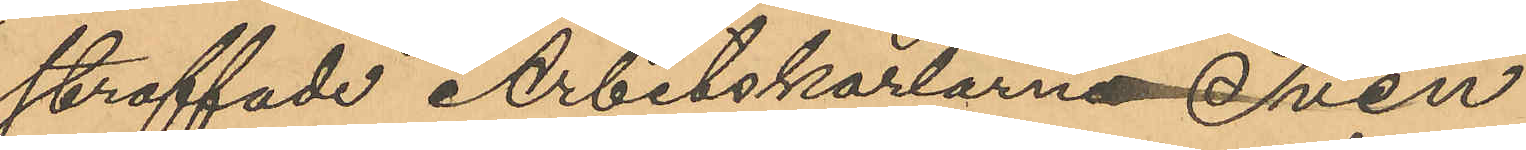straffade Arbetskarlarna Sven
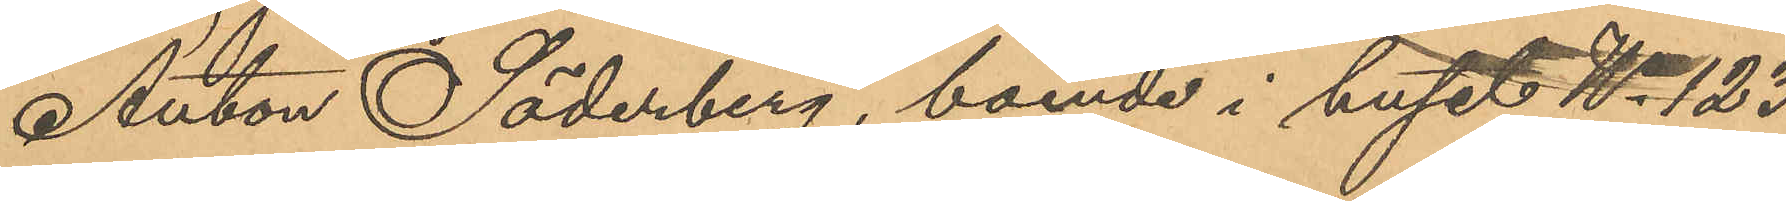Anton Söderberg, boende i huset No 123
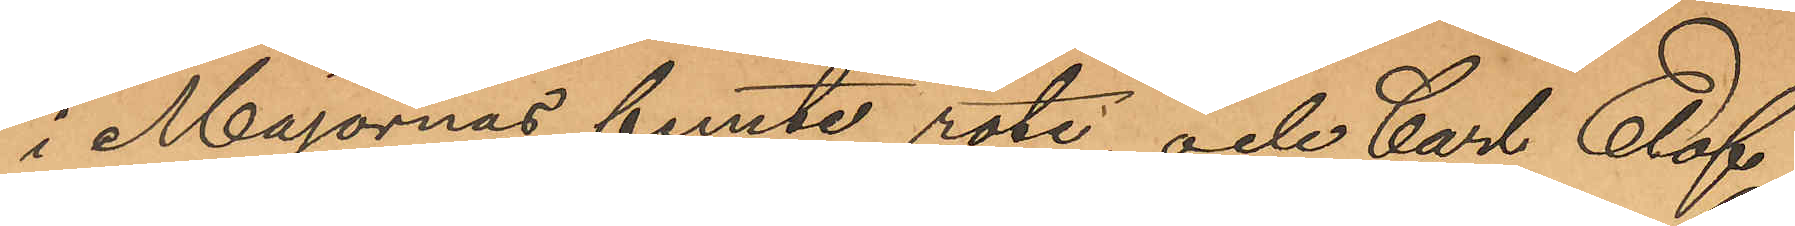i Majornas femte rote, och Carl Elof
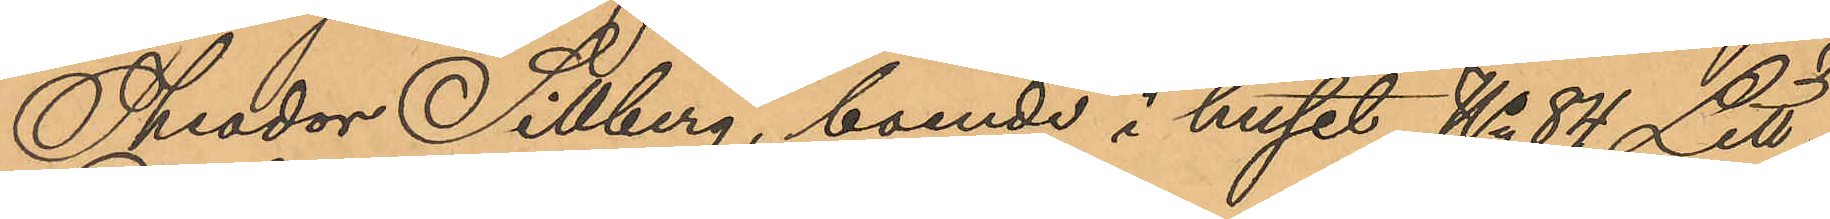Theodor Sillberg, boende i huset No 84 Litt
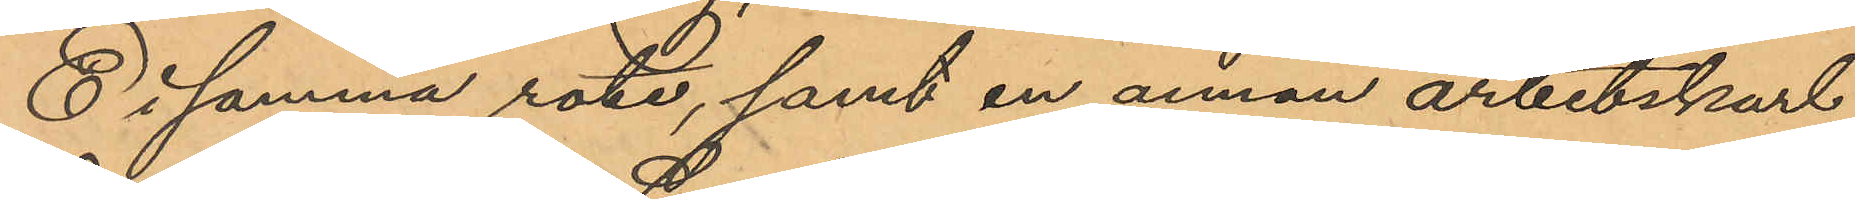E i samma rote, samt en annan arbetskarl
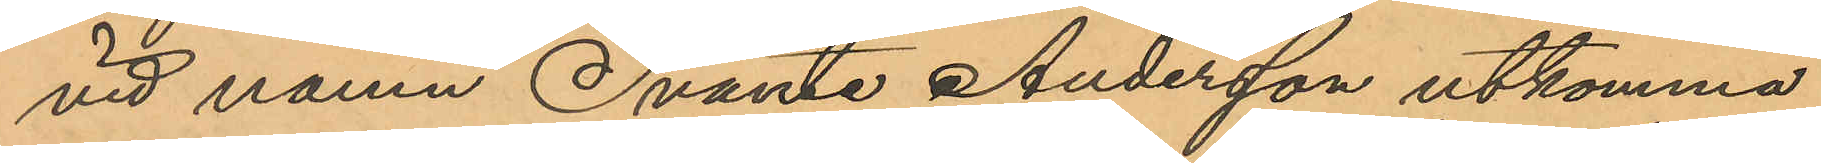vid namn Svante Andersson utkomma
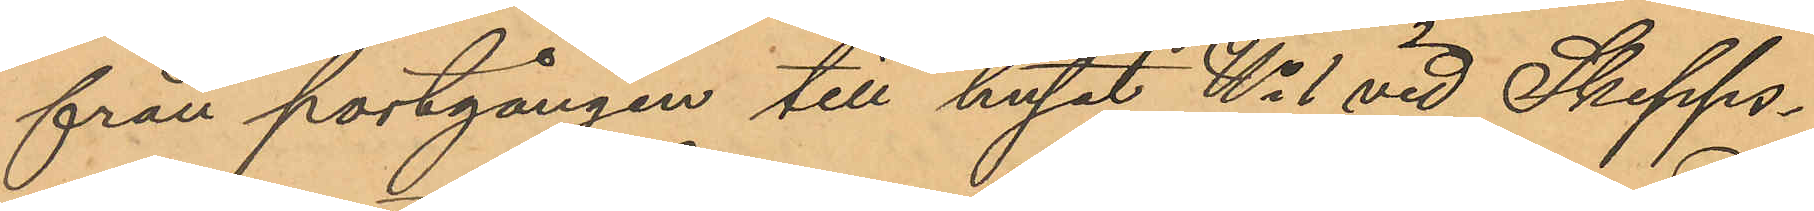från portgången till huset No 1 vid Skepps¬
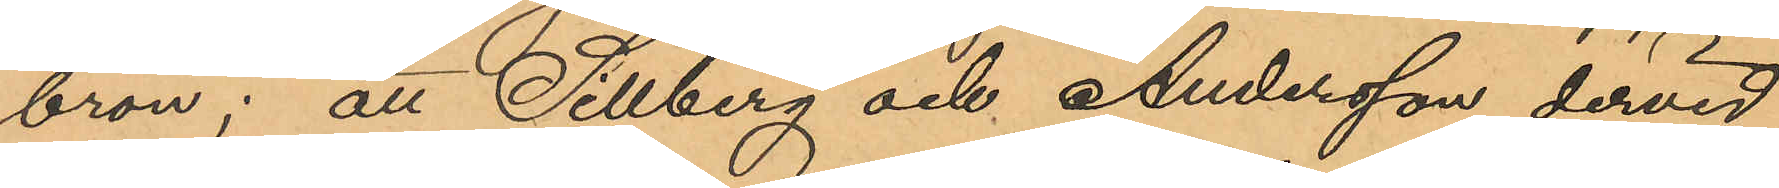bron; att Sillberg och Andersson dervid
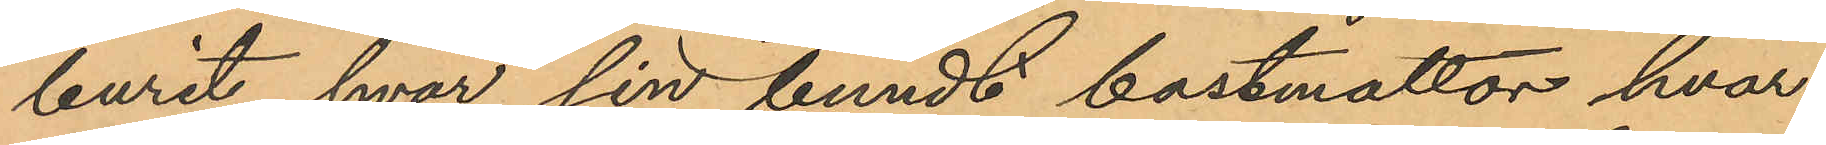burit hvar sin bundt bastmattor, hvar¬
